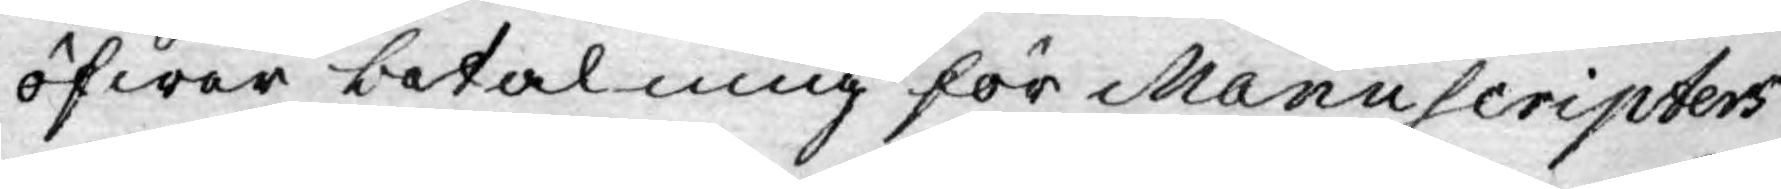öfwer betalning för Manuscripters
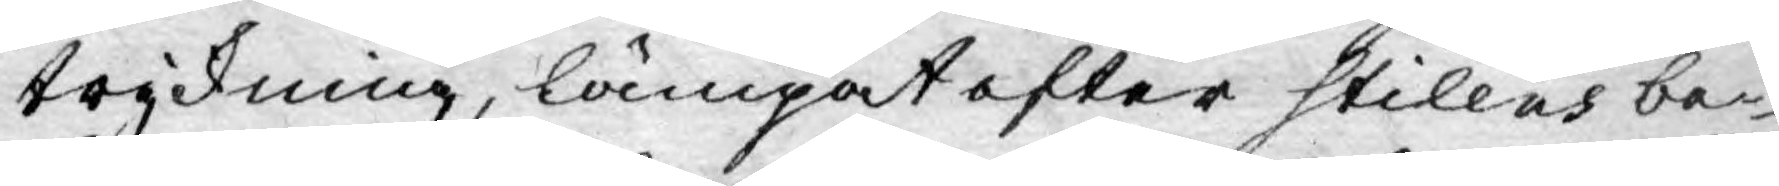tryckning, lämpat efter Stilens be¬
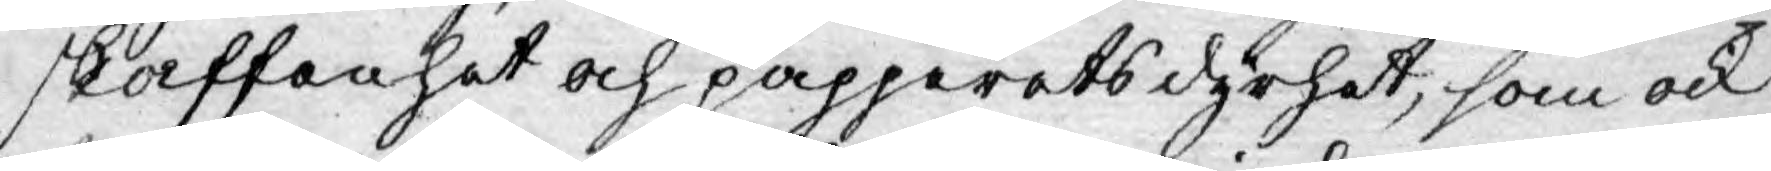skaffanhet och papperets dyrhet, som ock
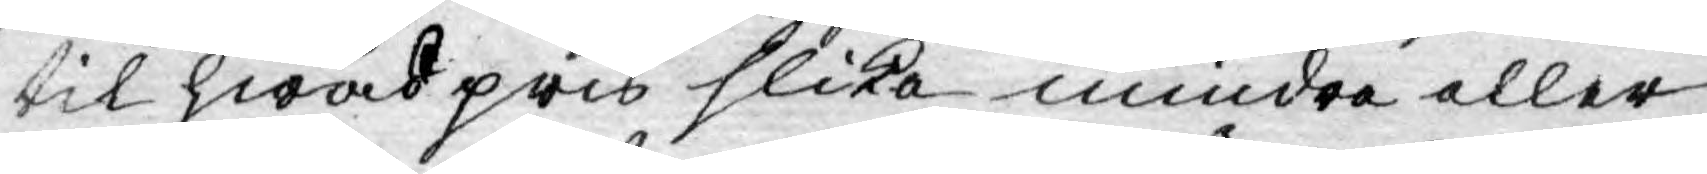til hwad pris slika mindre eller
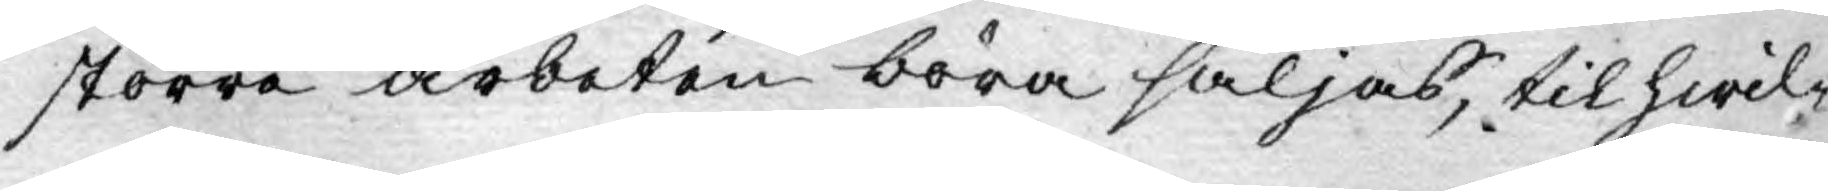större arbeten böra säljas, til hwil¬
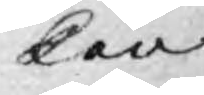ken
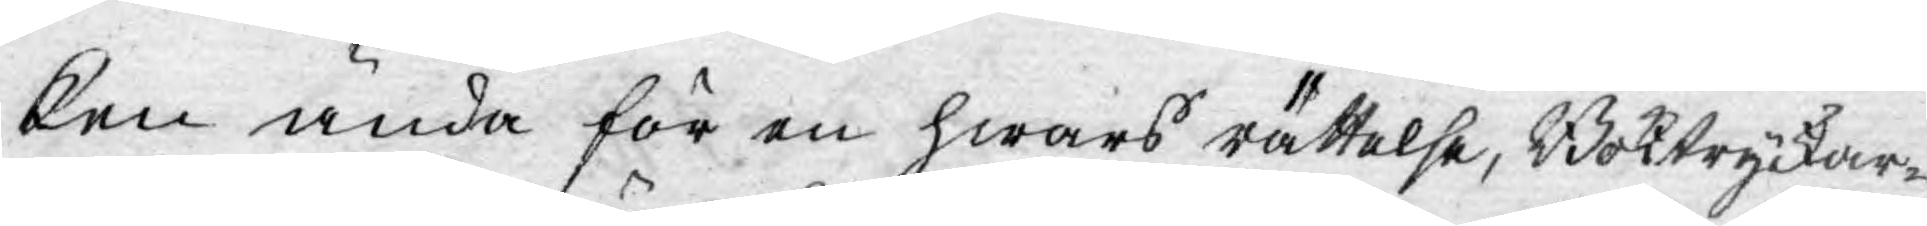ken ända för en hwars rättelse, Boktryckar-
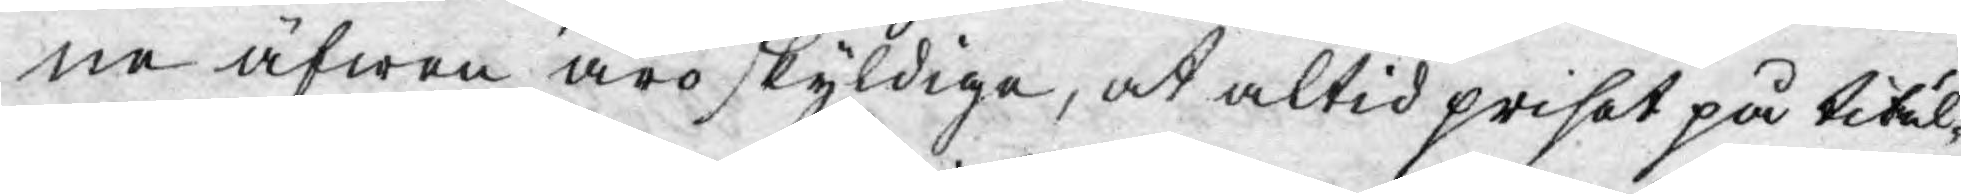ne äfwen äro skyldige, at altid priset på titul¬
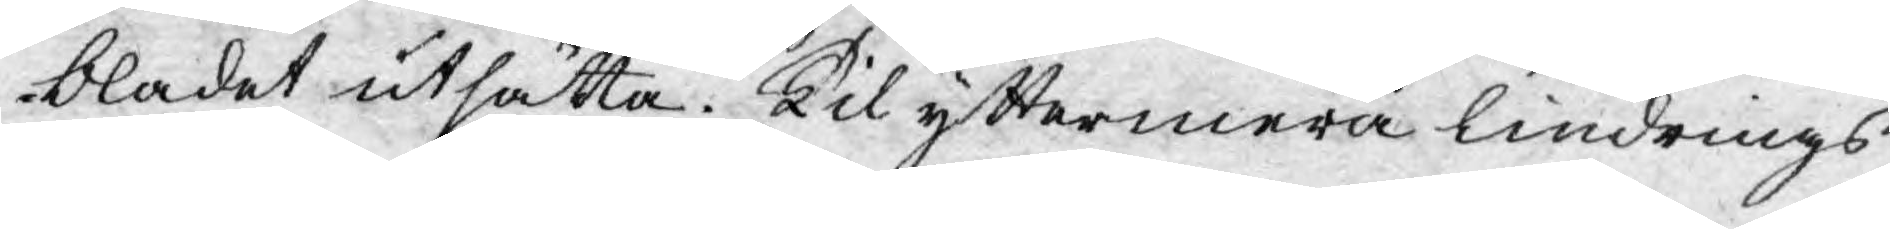bladet utsatta. Til yttermera lindrings
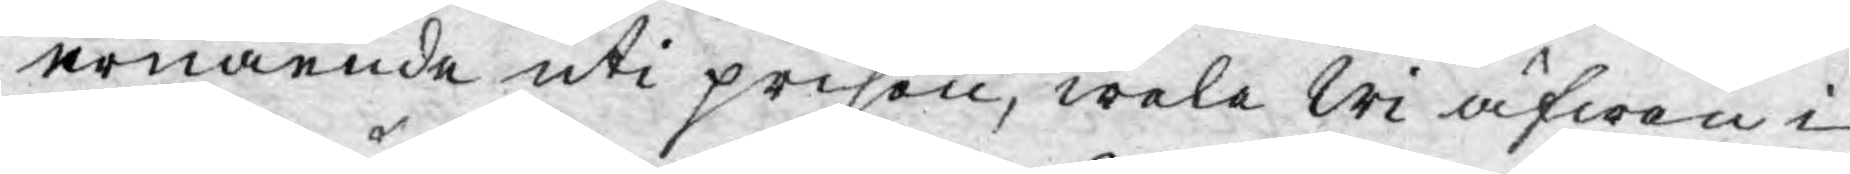ernående uti prisen, wele Wi äfwen i
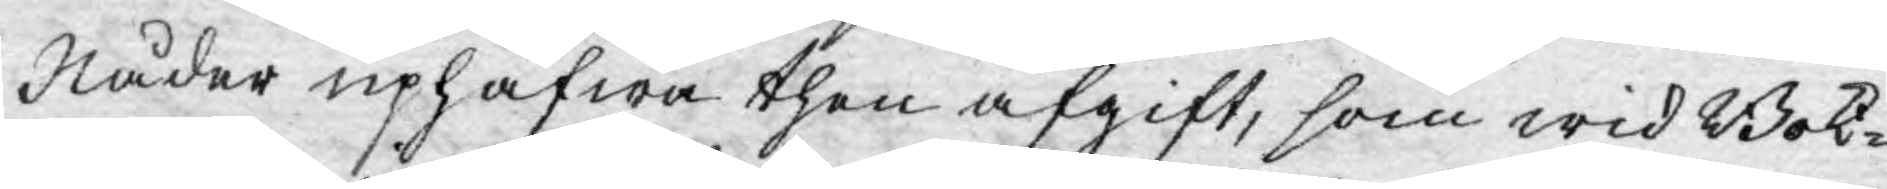Nåder uphäfwa then afgift, som wid Bok¬
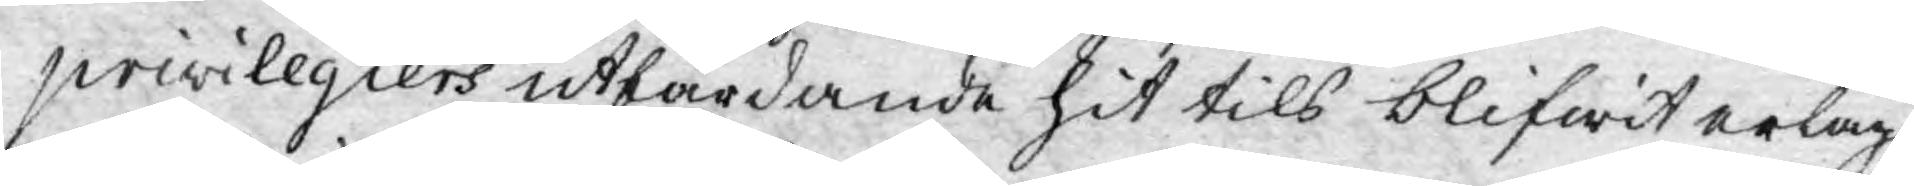privilegiers utfärdande hit tils blifwit erlagd.
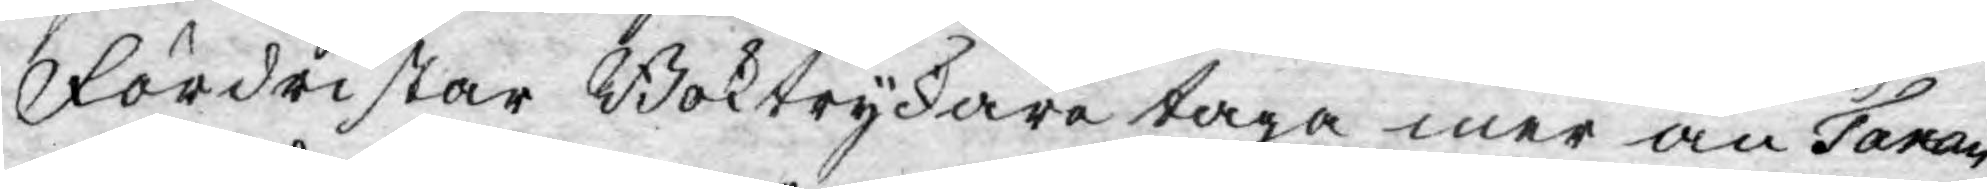Fördristar Boktryckare taga mer än Taxan
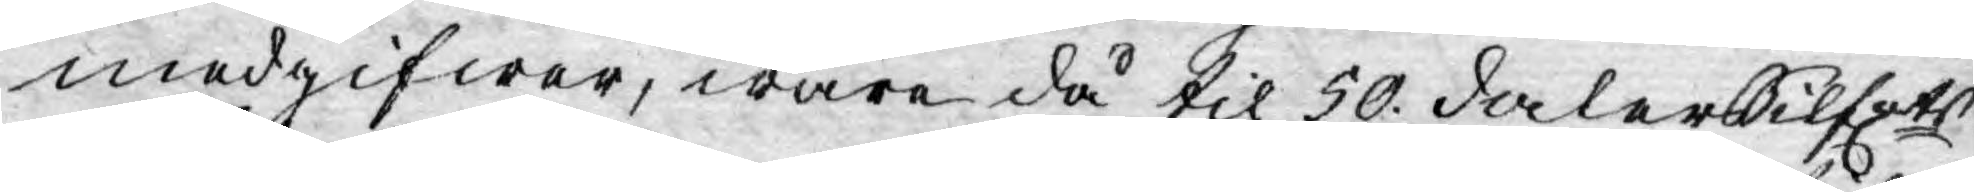medgifwer, wara då til 50. daler Silfrts
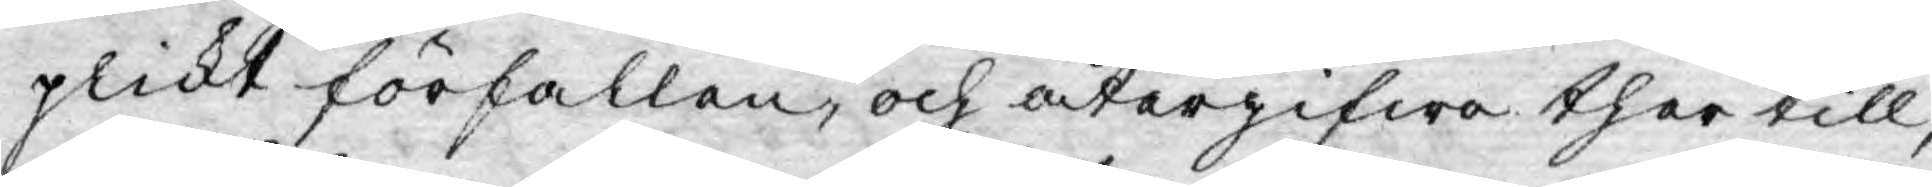plickt förfallen, och återgifwa ther till,
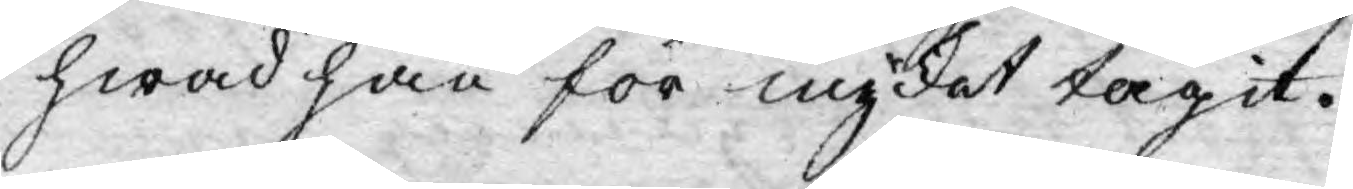hwad han för mycket tagit.
